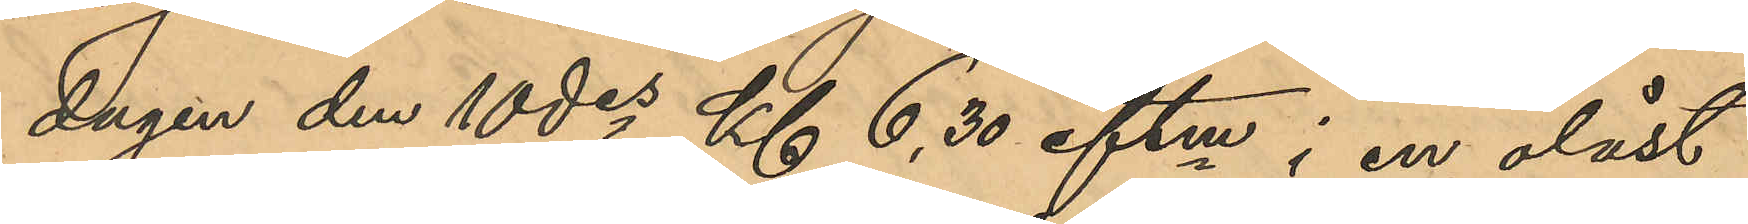dagen den 10 des Kl 6,30 eftm i en olåst
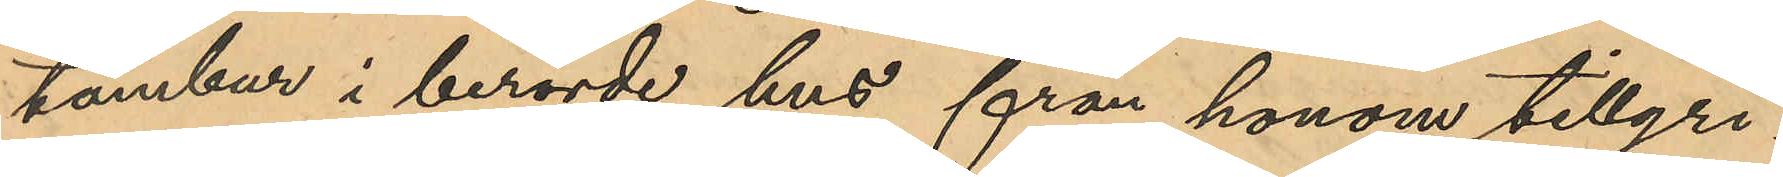tambur i berörde hus från honom tillgri¬
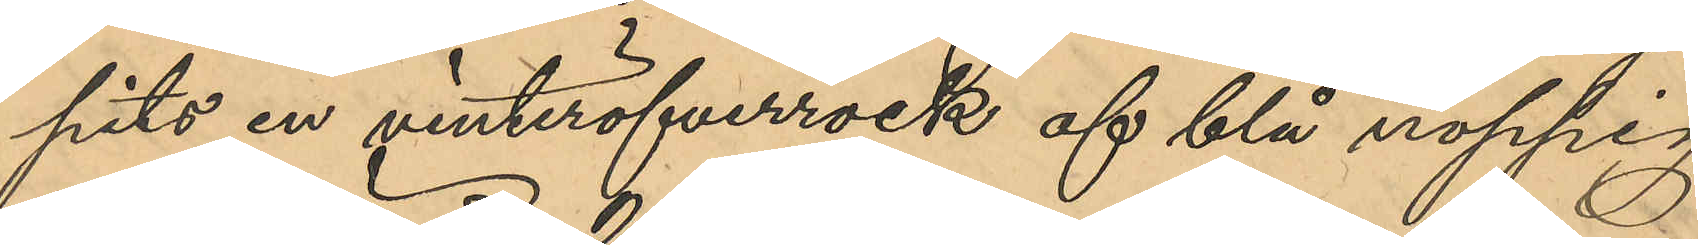pits en vinteröfverrock af blå noppig
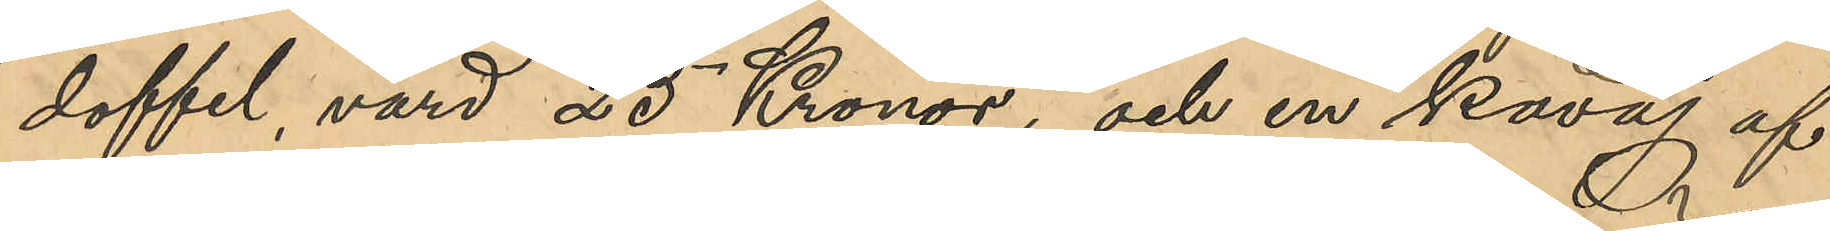doffel, värd 25 Kronor, och en kavaj af
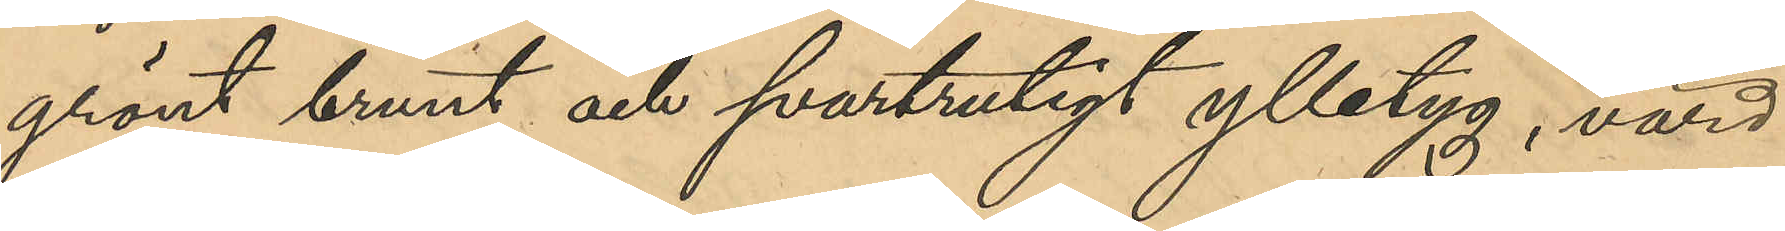grönt brunt och svartrutigt ylletyg, värd
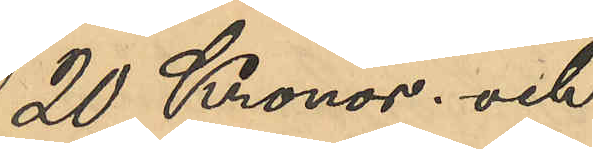20 Kronor. och
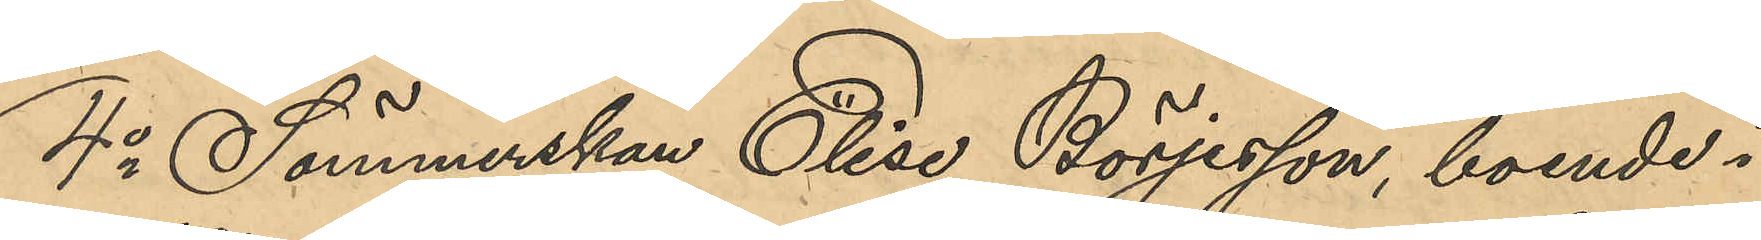4o Sömmerskan Elise Börjesson, boende i
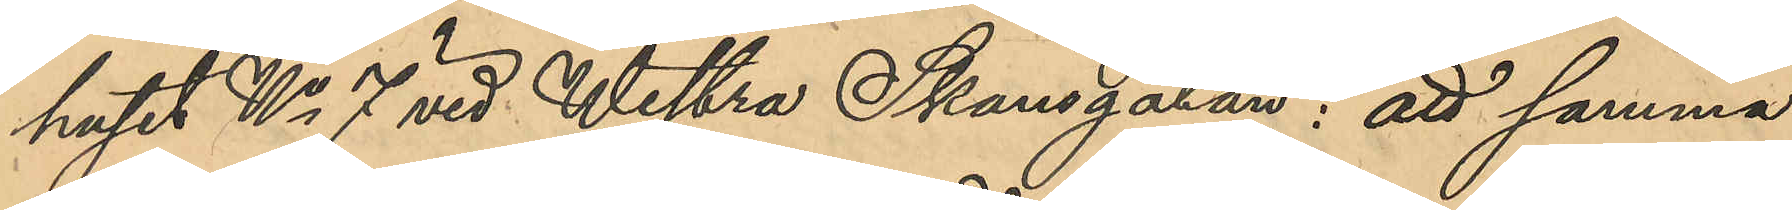huset No 7 vid Westra Skansgatan: att samma
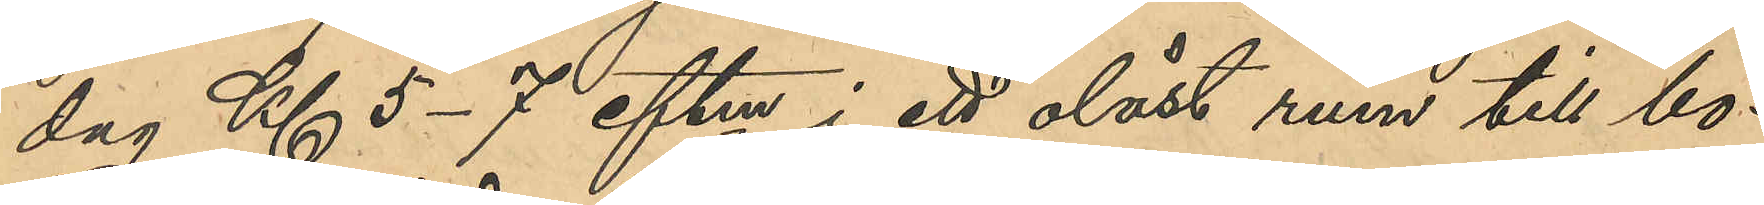dag Kl 5-7 eftm i ett olåst rum till bo¬
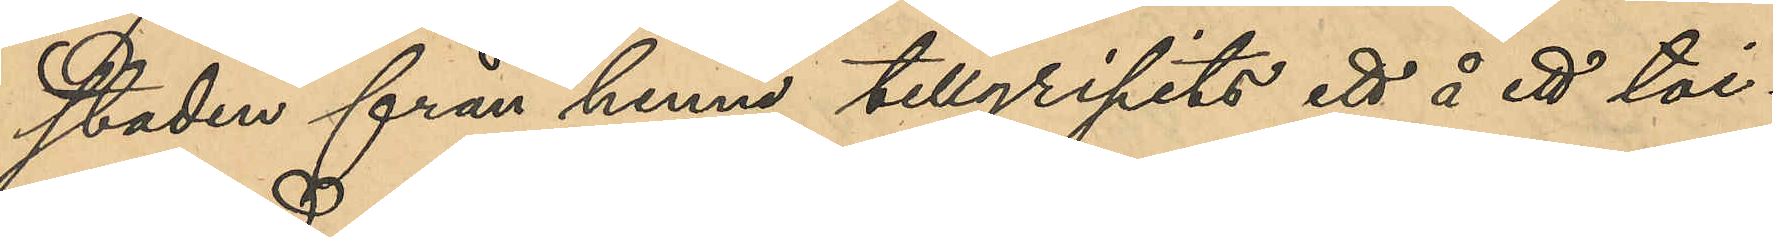staden från henne tillgripits ett å ett toi¬
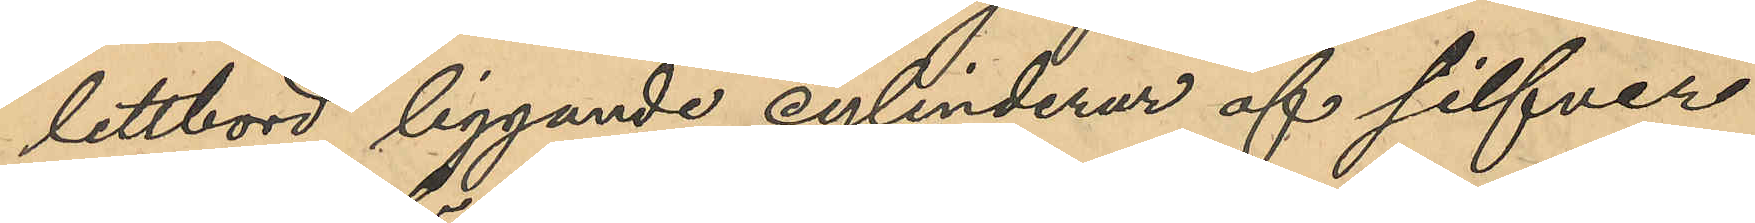lettbord liggande cylinderur af silfver
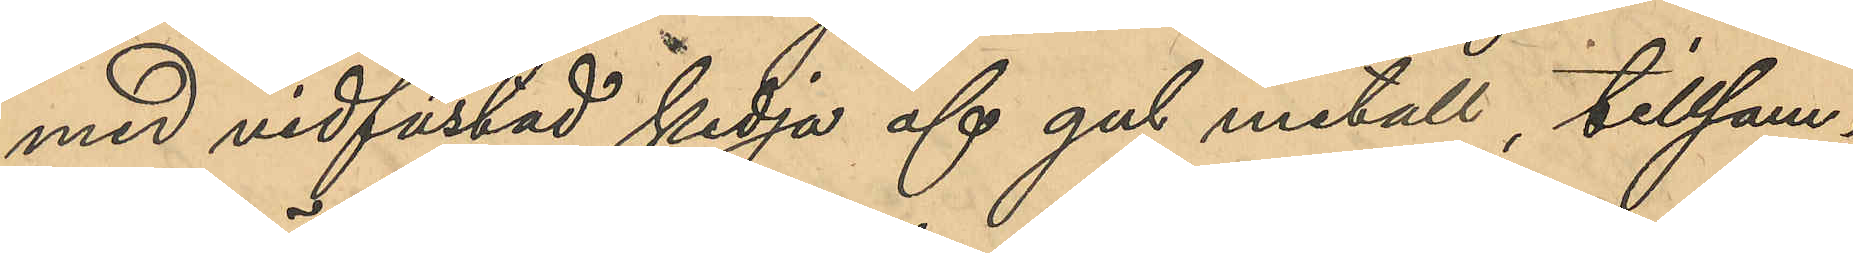med vidfästad kedja af gul metall, tillsam¬
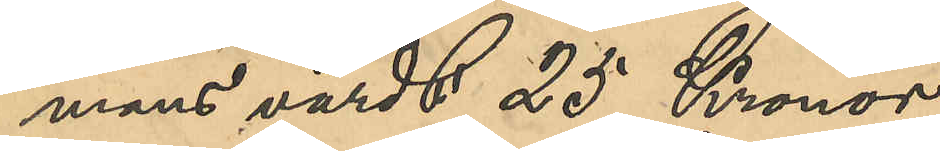mans värdt 25 Kronor.
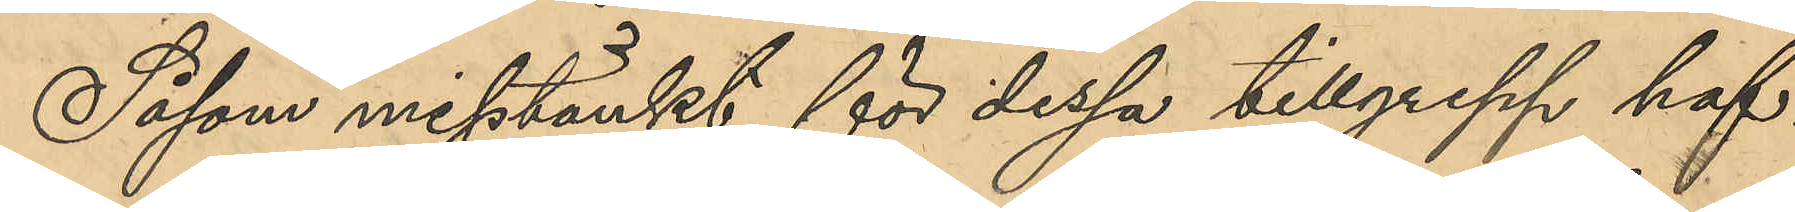Såsom misstänkt för dessa tillgrepp haf¬
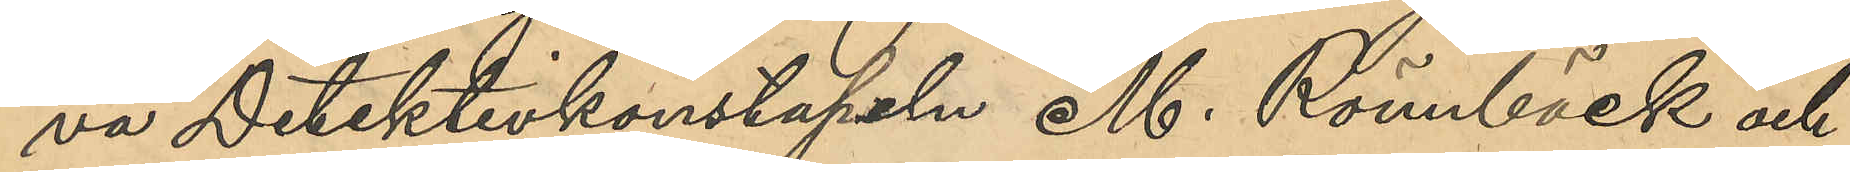va Detektivkonstapeln M. Rönnbäck och
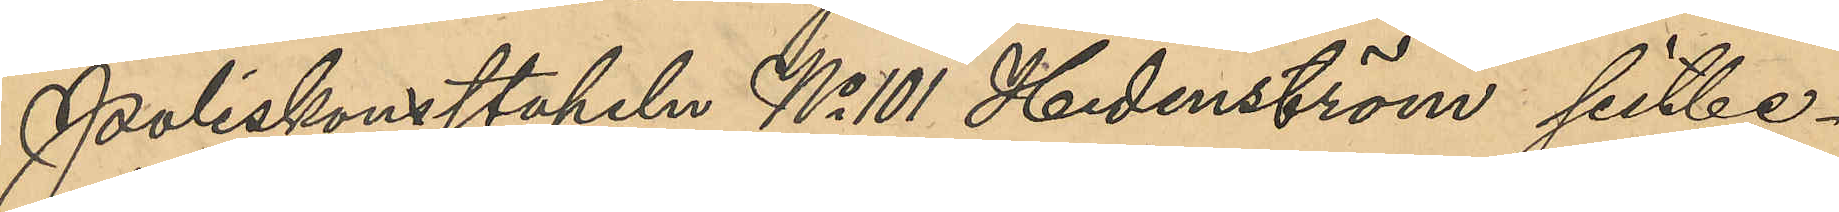Poliskonstapeln No 101 Hedeström sistbe¬
